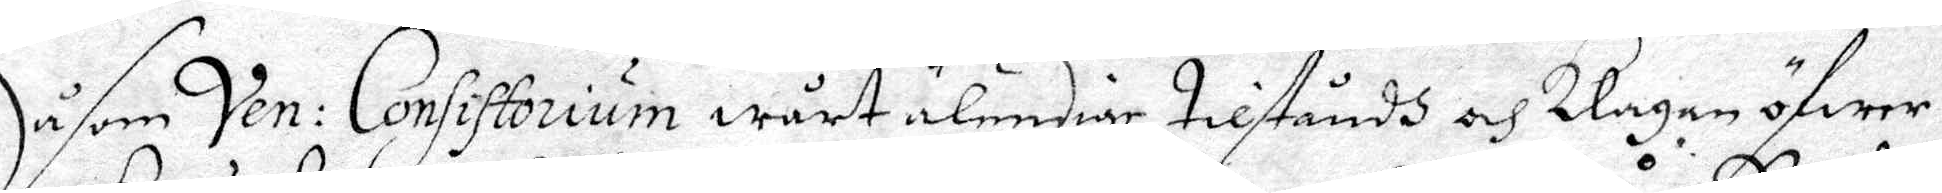Såsom Ven: Consistorium wårt älendige tillståndh och Klagan öfwer
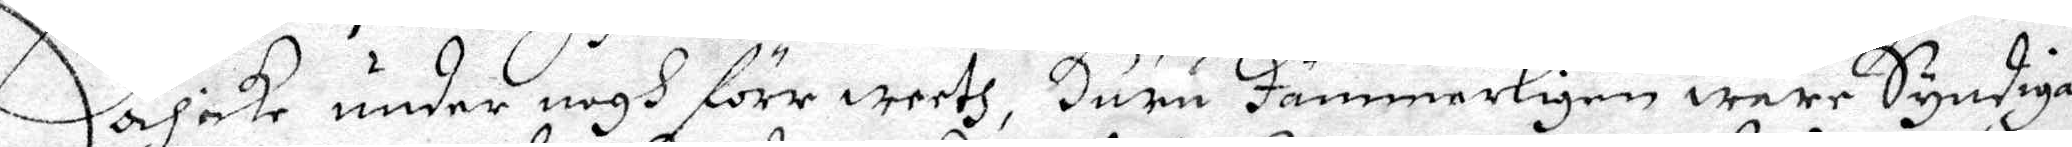och icke under nogh förr weeth, Huru Jämmerligen wåre Syndige
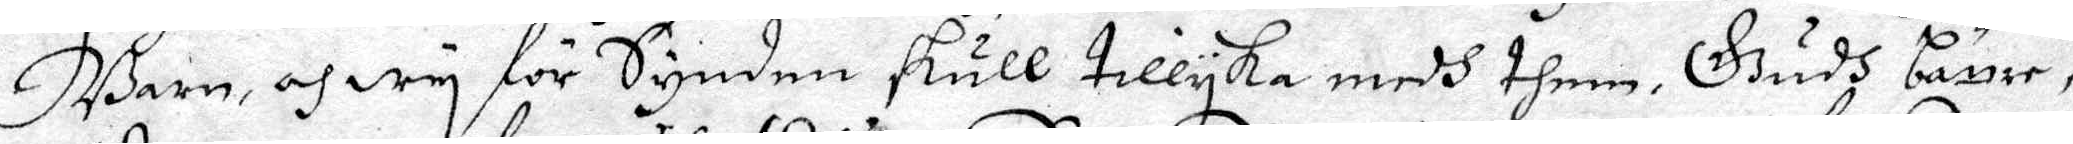Barn, och wy för Synden skull tillyka medh them. Gudh böner,
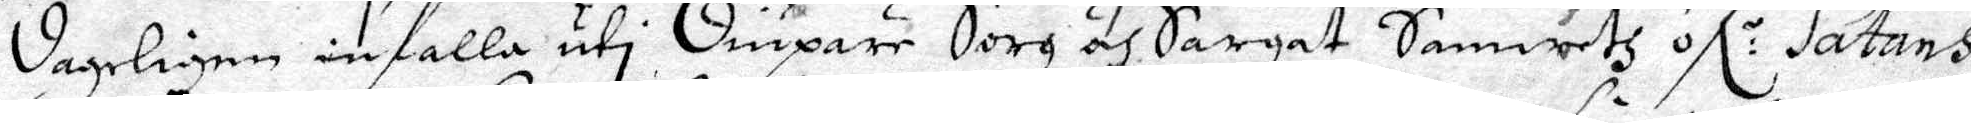dageligen infalla uthi diupare Sorg och Sargat Samweth öfl.r Satans
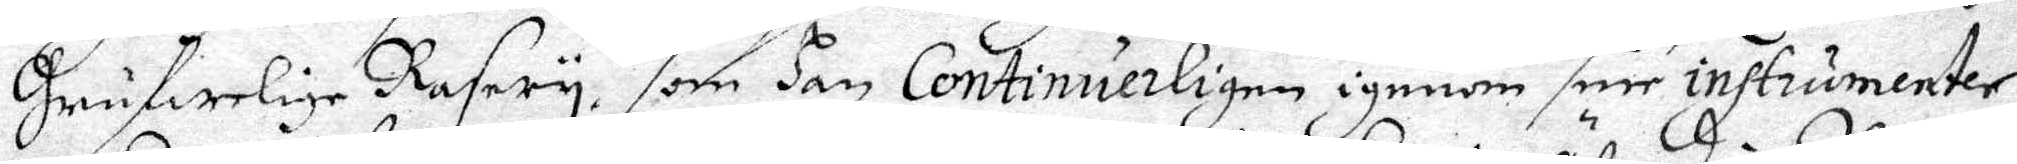Grufwelige Rasery, som han Continuerligen igenom sine instrumenter
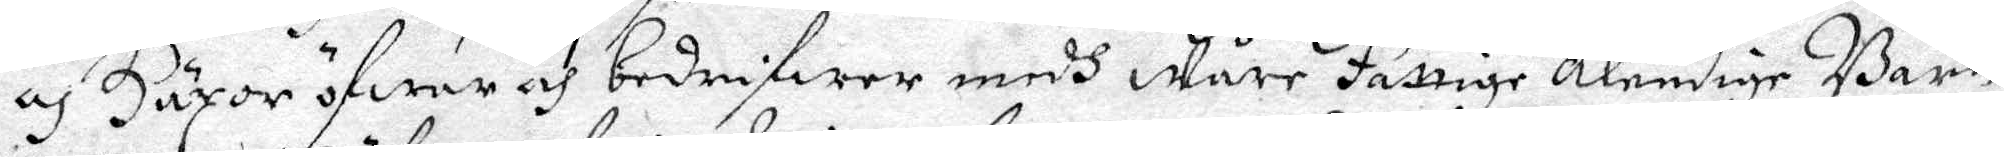och Häxor öfwar och bedrifwer medh Wåre fattige älendige Barn
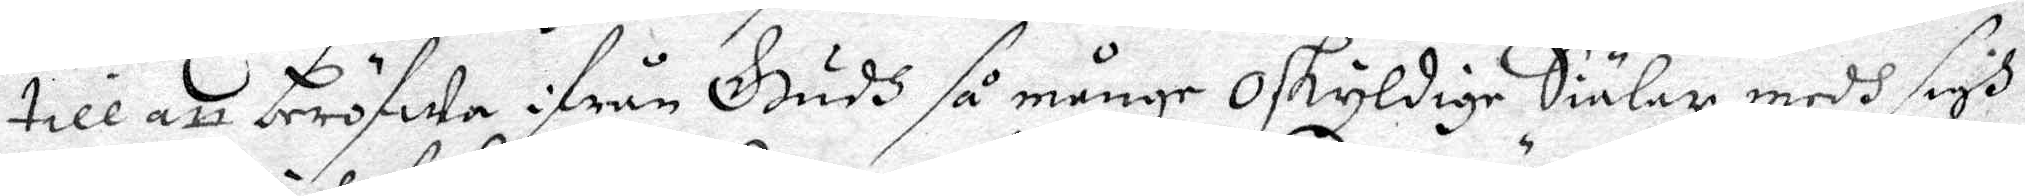till att beröfwa ifrån Gudh så månge Oskyldige Siälar medh sigh
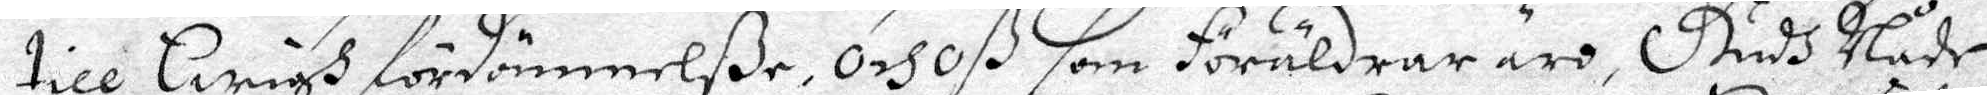till Ewigh fördömmelße, och oß som Föräldrar äro, Gudh Nåde
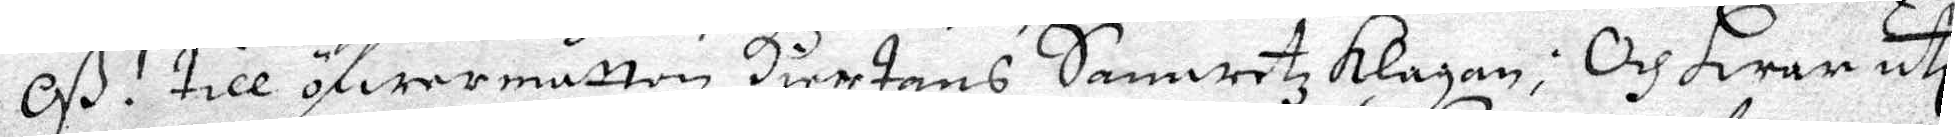Oß! till öfwermåttan Hiertans Samwetz klagan; Och hwar uti
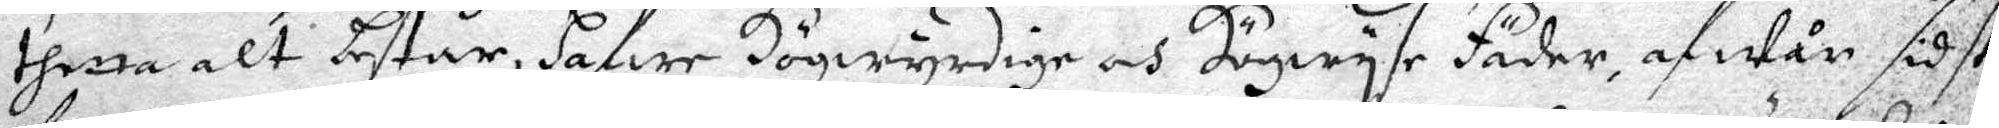thetta alt består, hafwe Högwyrdige och Högwyse Fäder, af wån sidst
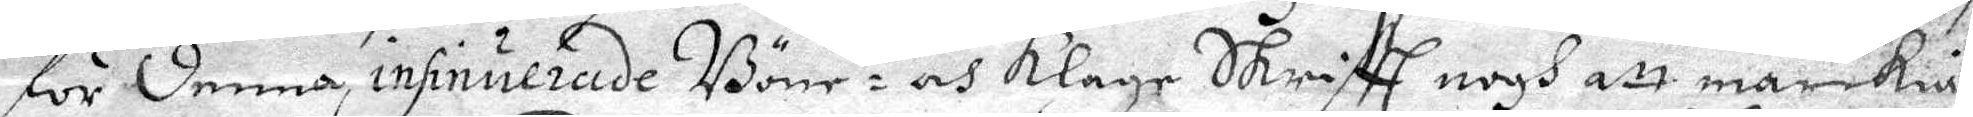för denna insinuerade Böne- och klage Skrifft nogh att märckia,
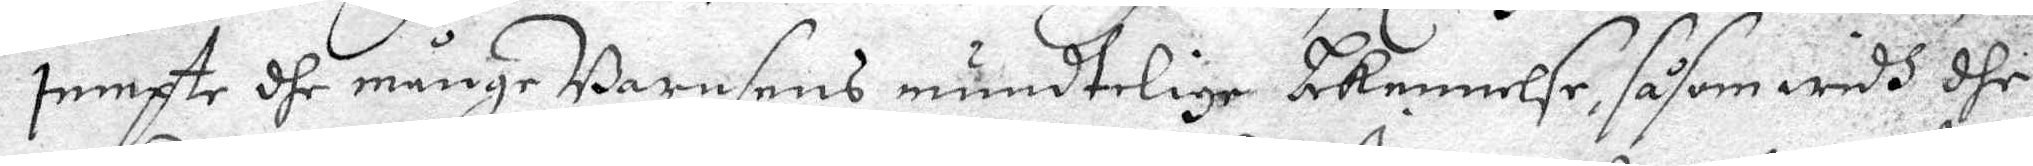jämpte dhe månge Barnsens mundtelige bekennelse, såsom widh dhe
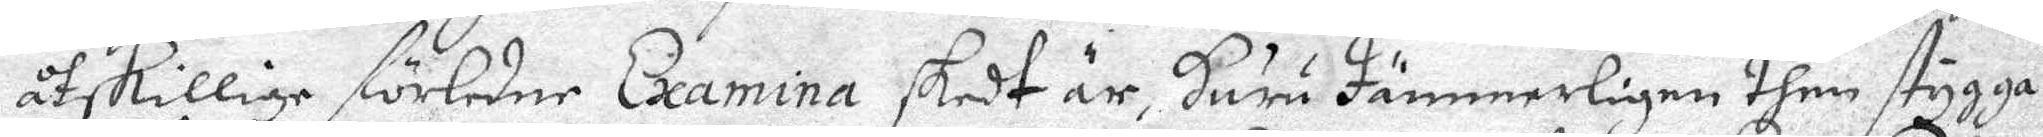åtskillige förledne Examina skedt är, huru Jämmerligen then stygga
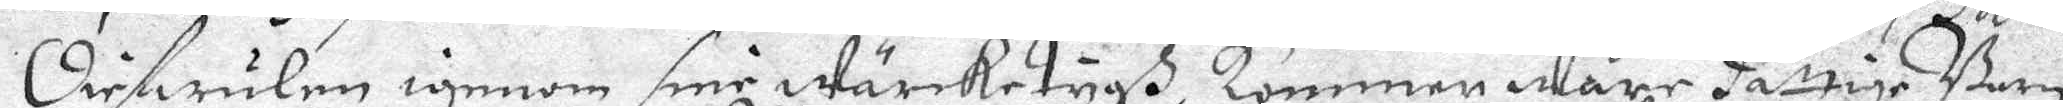Diefwulen igenom sine wärcketygh, kommen Wåre fattige Barn
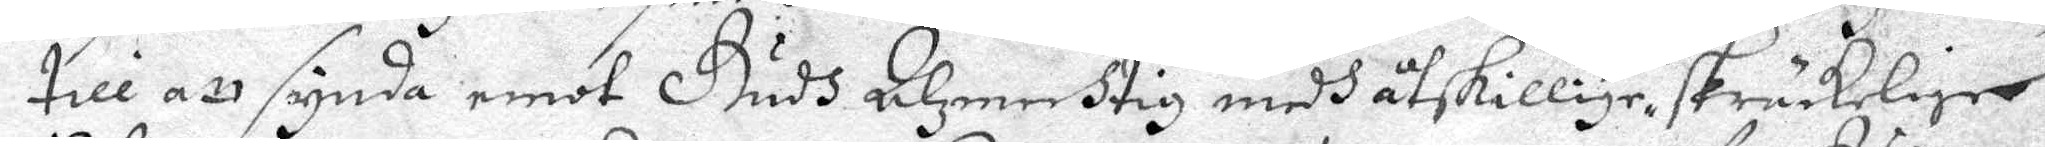till att synda emot Gudh Alzmechtig medh åtskillige för, skräckelige
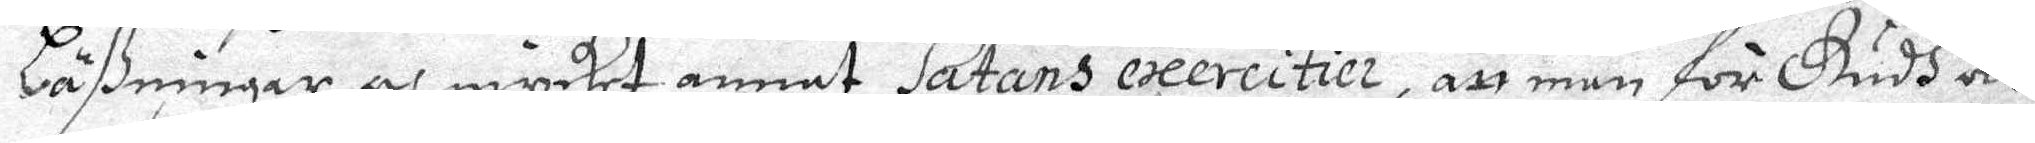Läßningar och mycket annat Satans exercitier, att man för Gudh och
